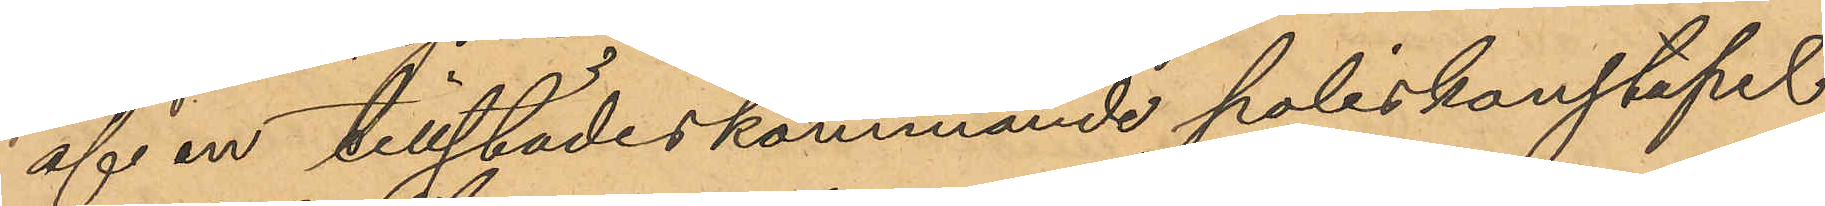af en tillstädeskommande poliskonstapel.
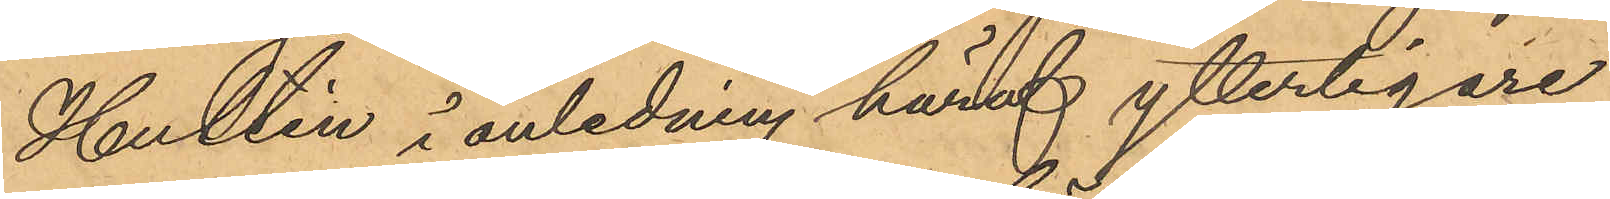Hultén i anledning häraf ytterligare
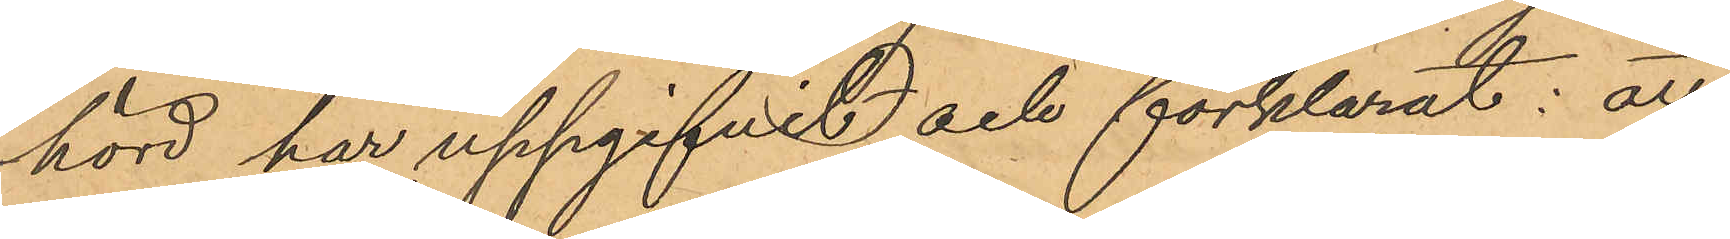hörd har uppgifvit och förklarat: att
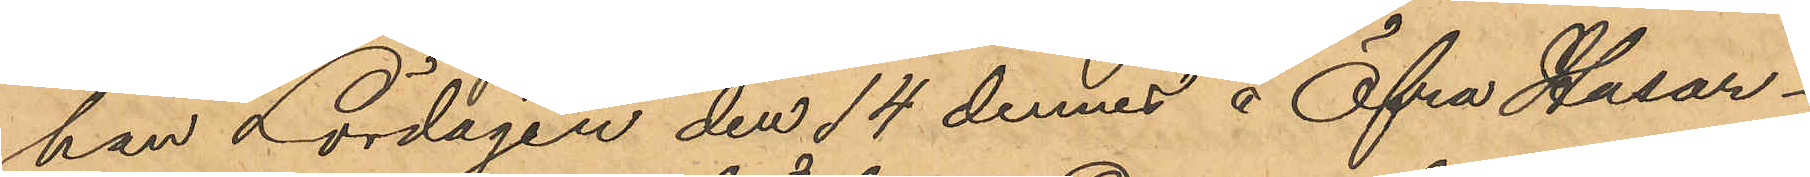han Lördagen den 14 dennes å Öfra Husar¬
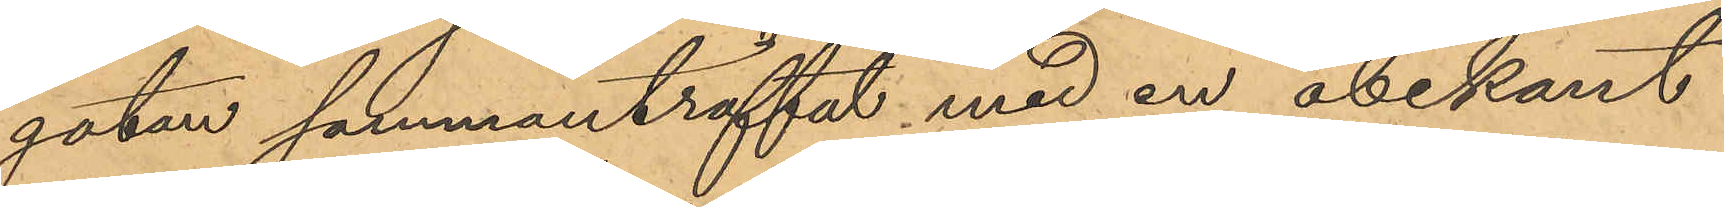gatan sammanträffat med en obekant
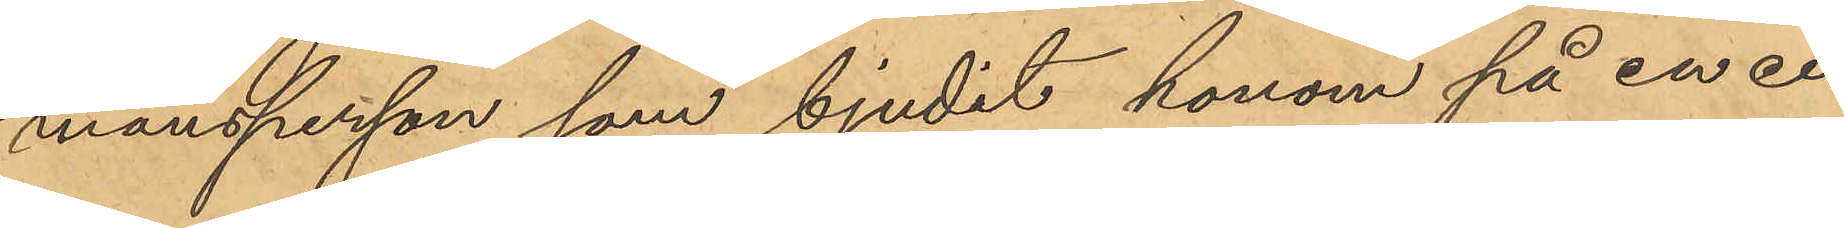mansperson, som bjudit honom på en ci¬
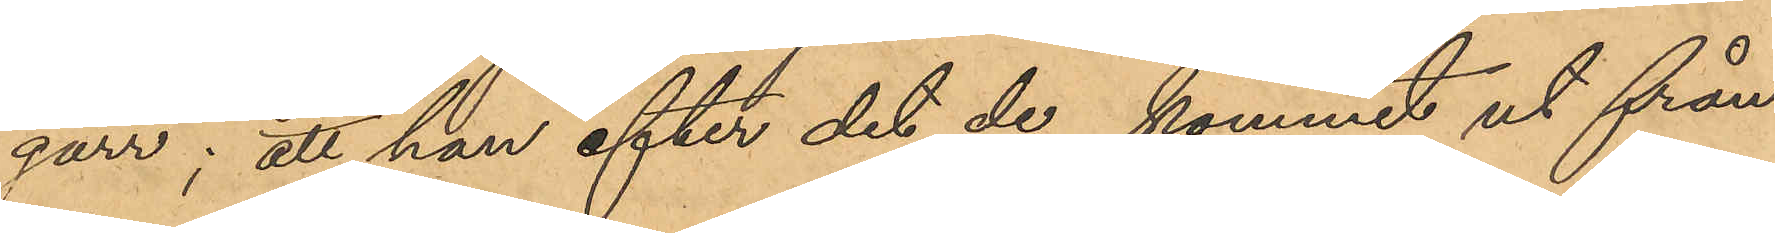garr; att han efter det de kommit ut från
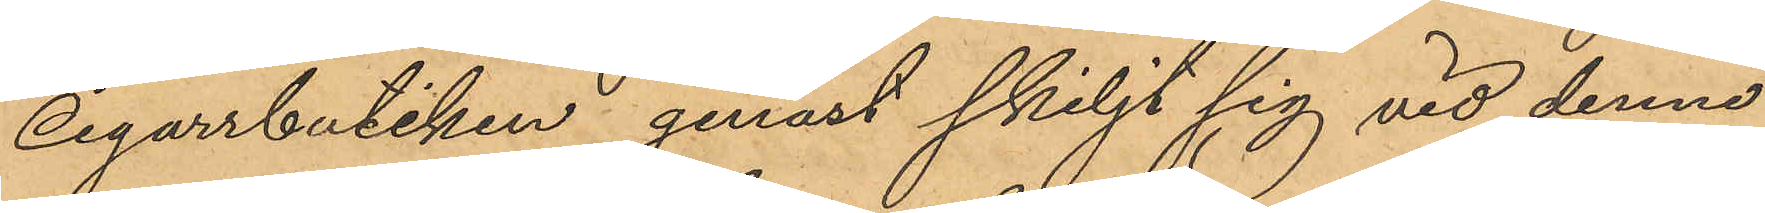Cigarrbutiken, genast skiljt sig vid denne
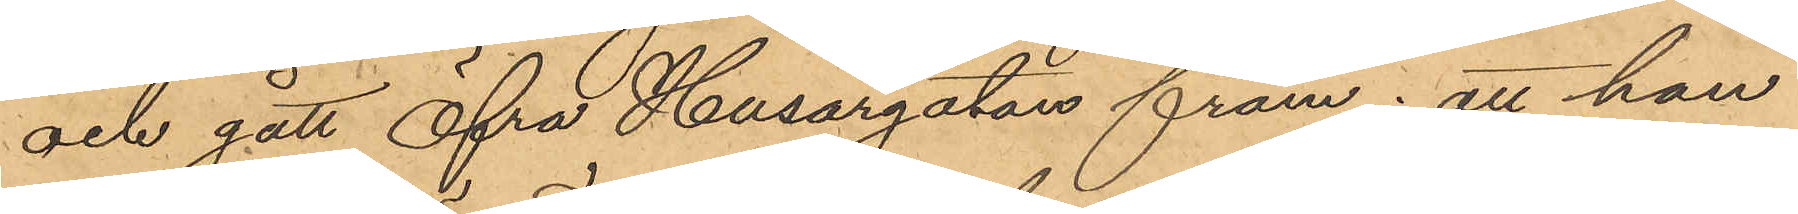och gått Öfra Husargatan fram; att han
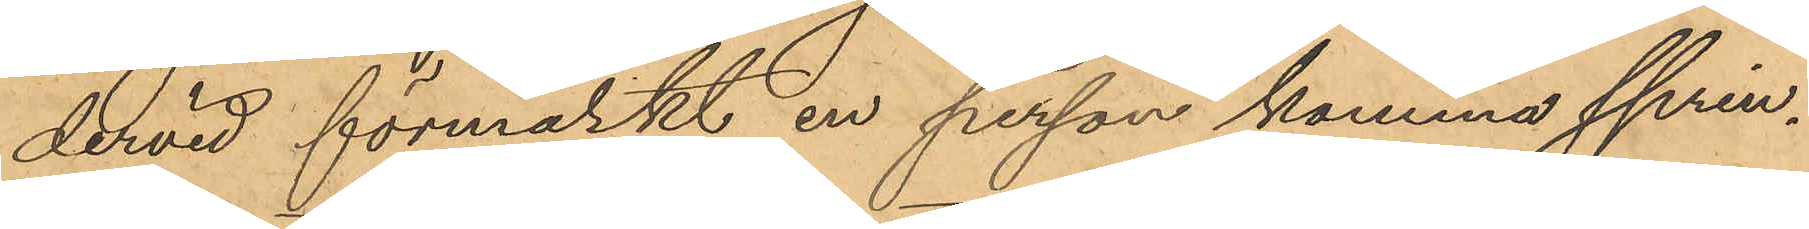dervid förmärkt en person komma sprin¬
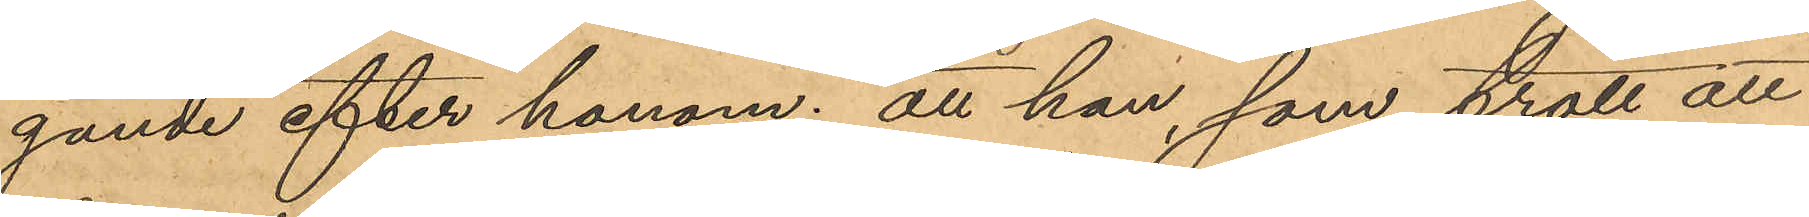gande efter honom; att han, som trott att
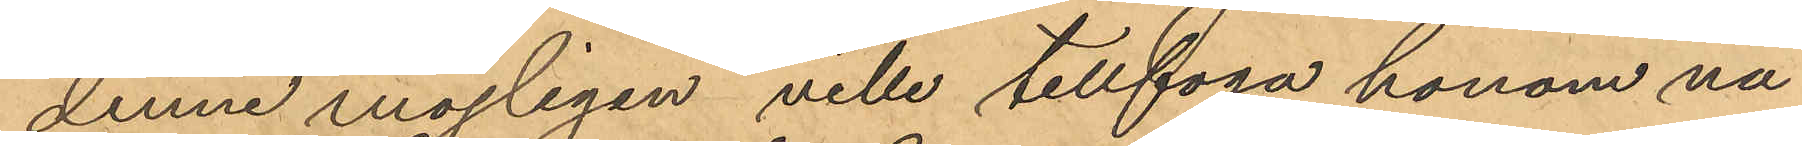denne möjligen ville tillfoga honom nå¬
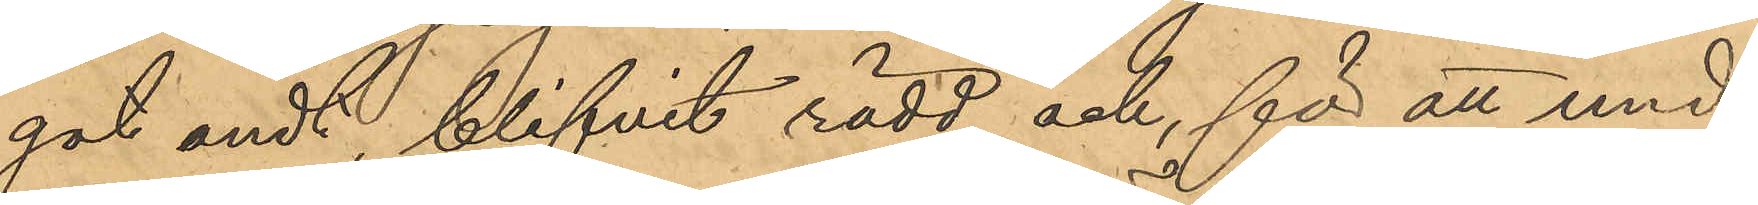gat ondt, blifvit rädd och, för att und¬
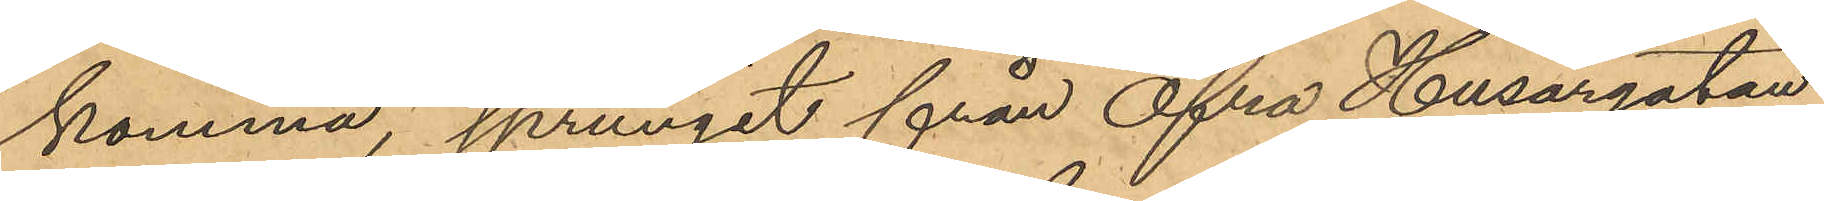komma, sprungit från Öfra Husargatan
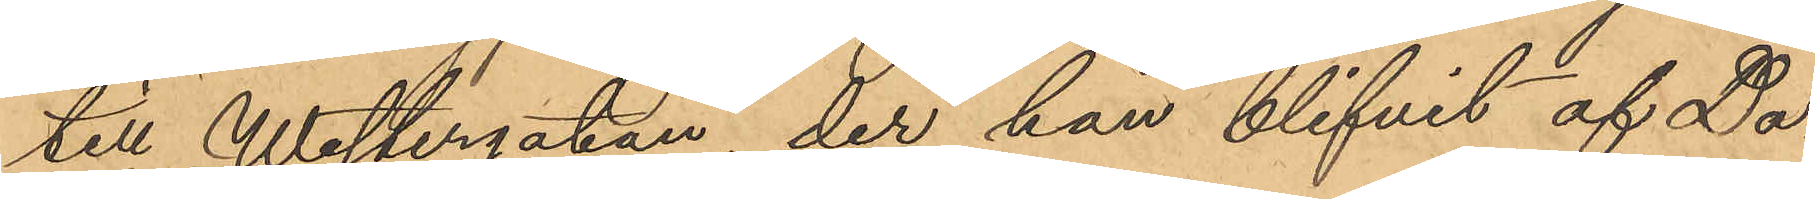till Westergatan, der han blifvit af Da¬
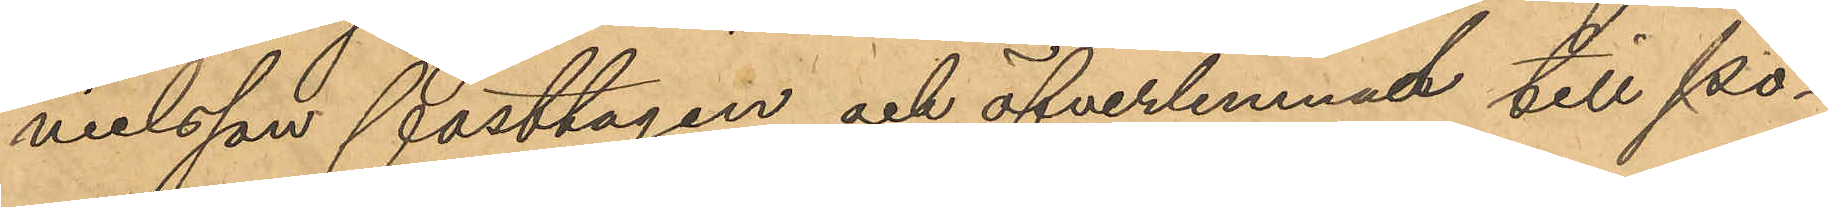nielsson fasttagen och öfverlemnad till po¬
